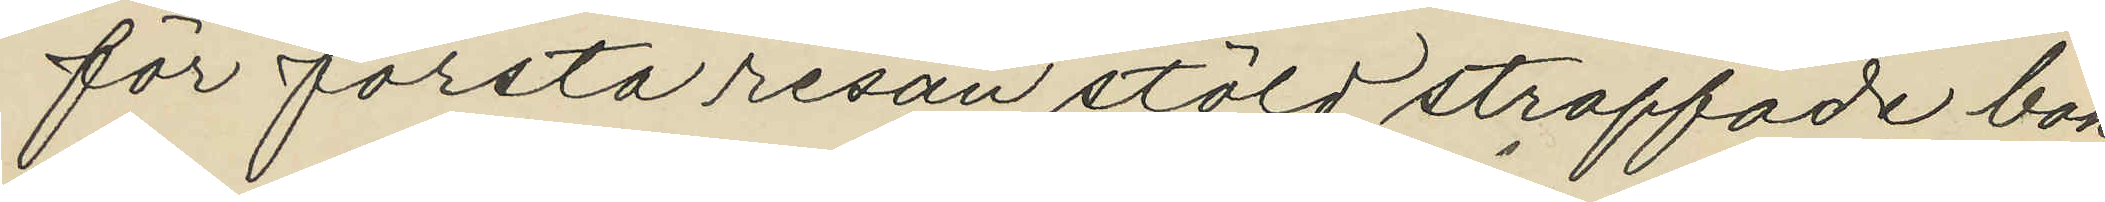för första resan stöld straffade bok¬
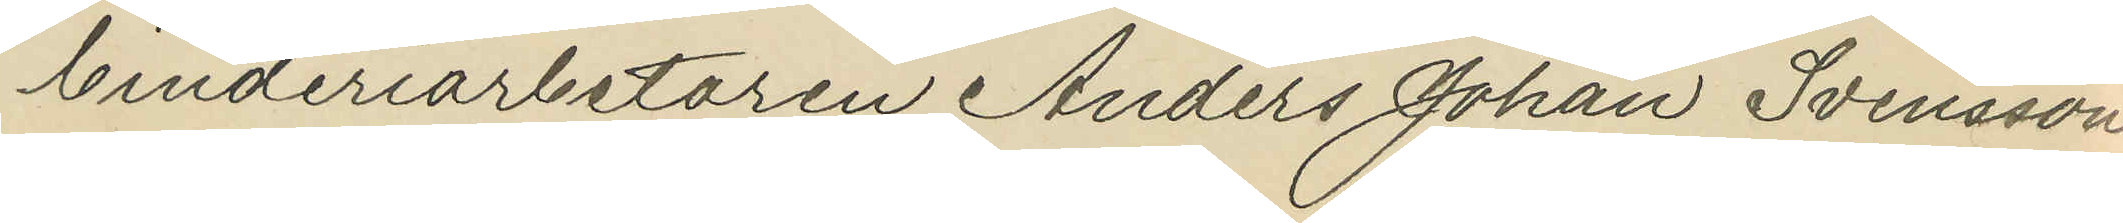binderiarbetaren Anders Johan Svensson
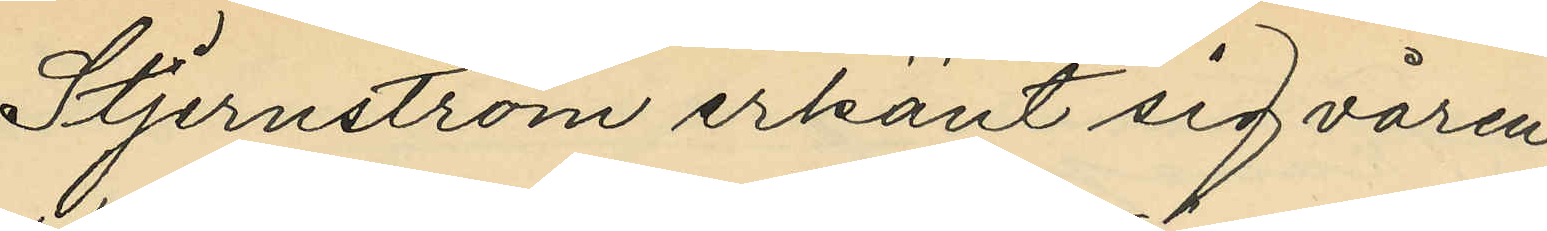Stjernström erkänt sig våren
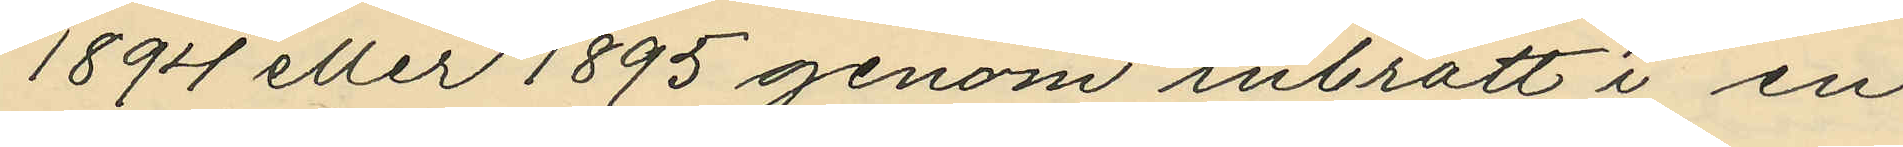1894 eller 1895 genom inbrott i en
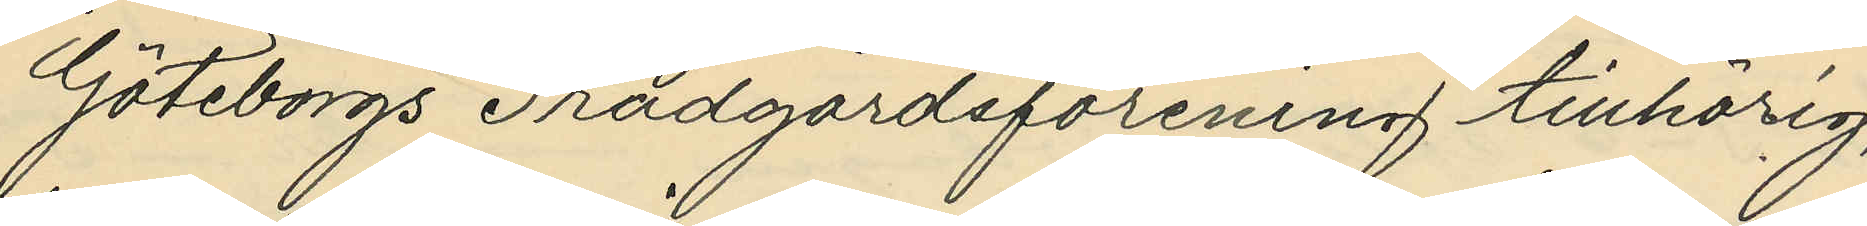Göteborgs Trädgårdsförening tillhörig,
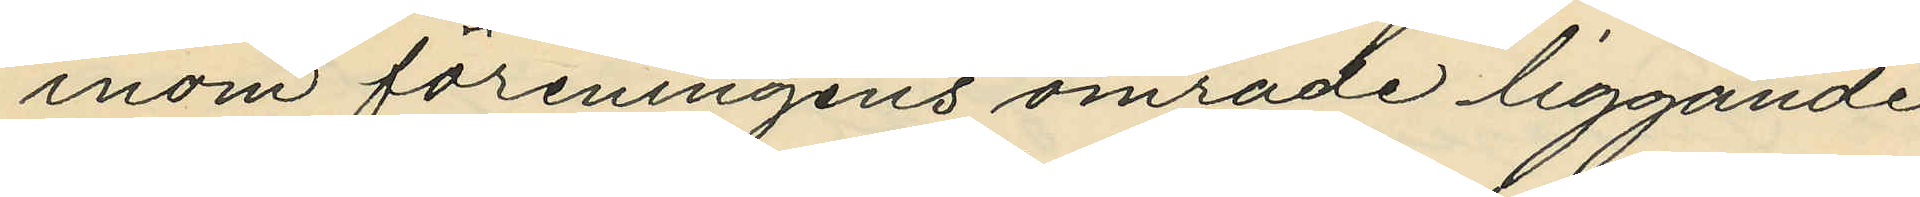inom föreningens område liggande
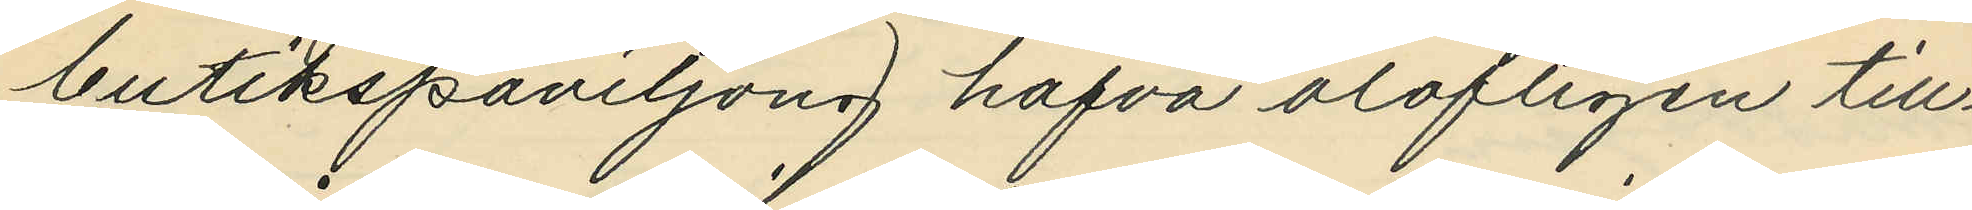butikspaviljong hafva olofligen till¬
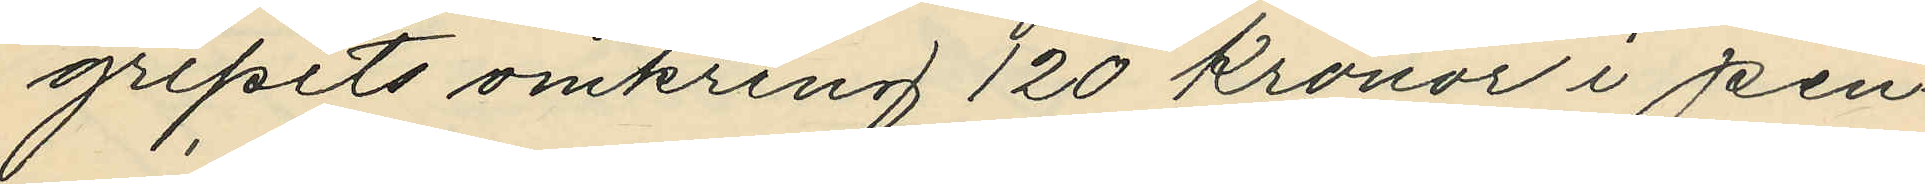gripits omkring 120 Kronor i pen¬
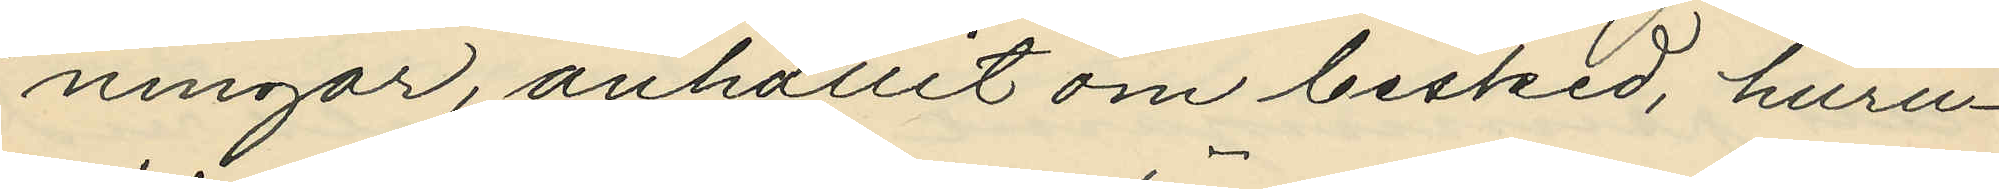ningar, anhållit om besked, huru¬
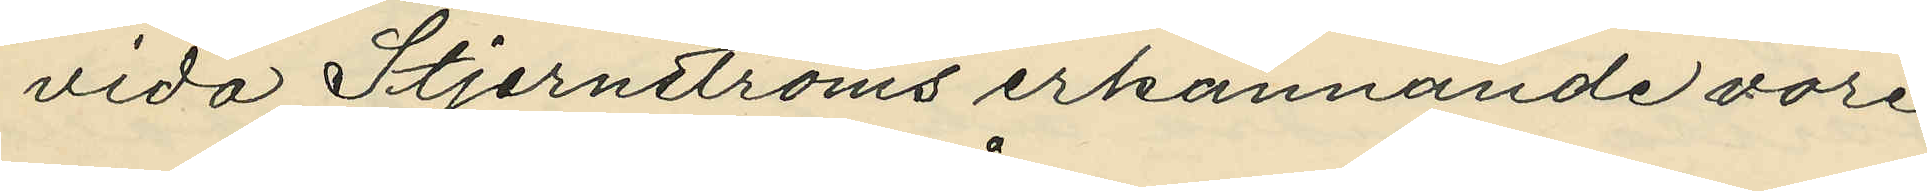vida Stjernströms erkännande vore
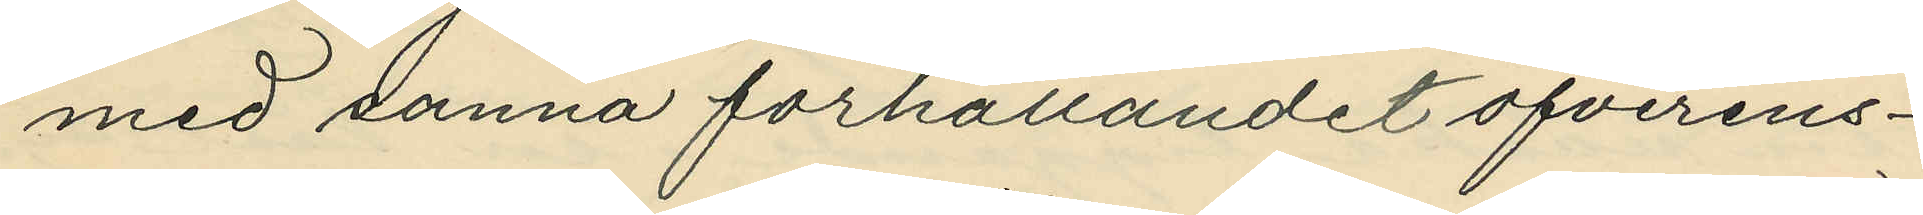med sanna förhållandet öfverens¬
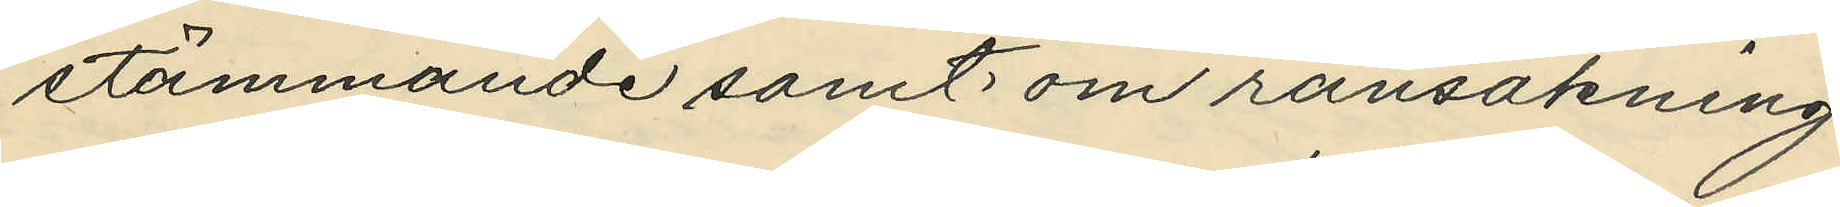stämmande samt om ransakning
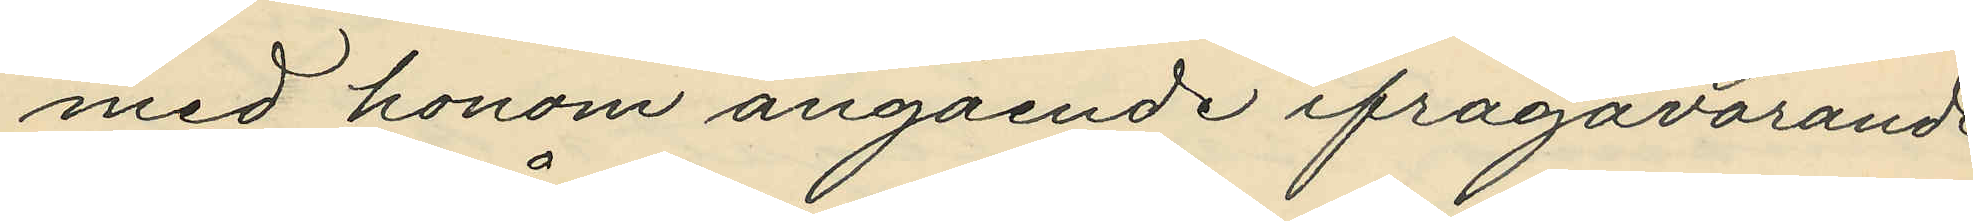med honom angående ifrågavarande
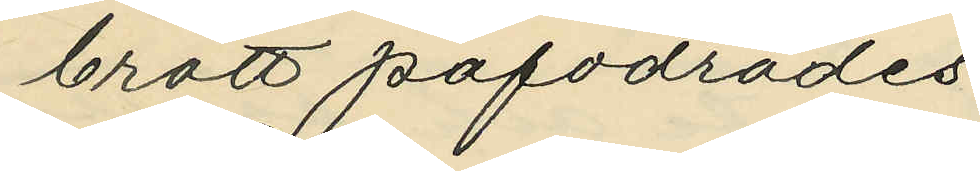brott påfodrades.
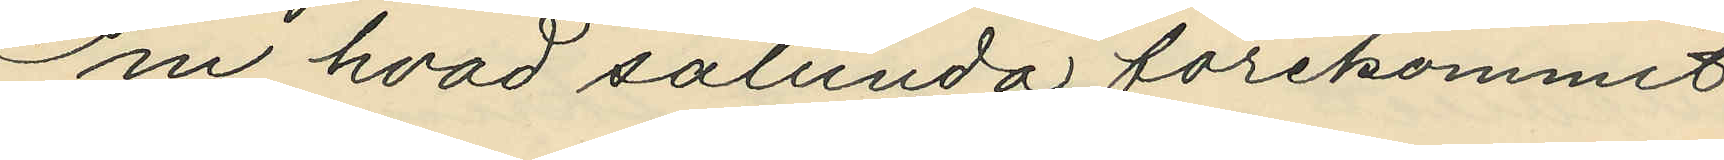Om hvad sålunda förekommit
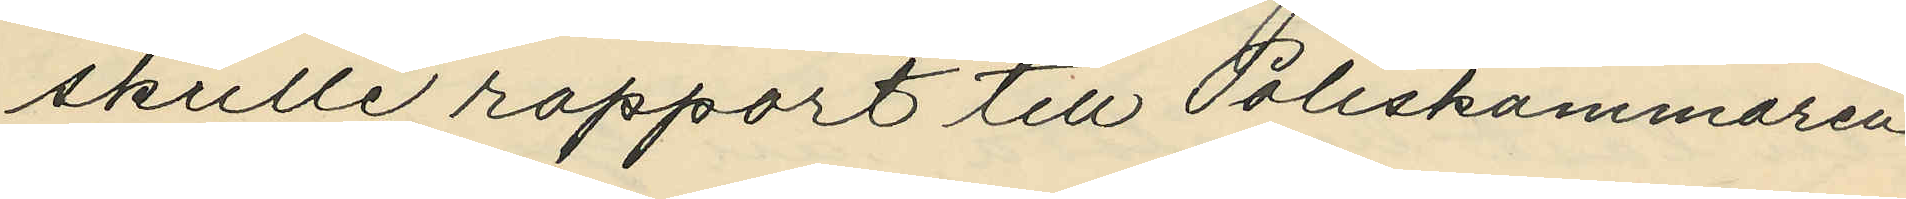skulle rapport till Poliskammaren
